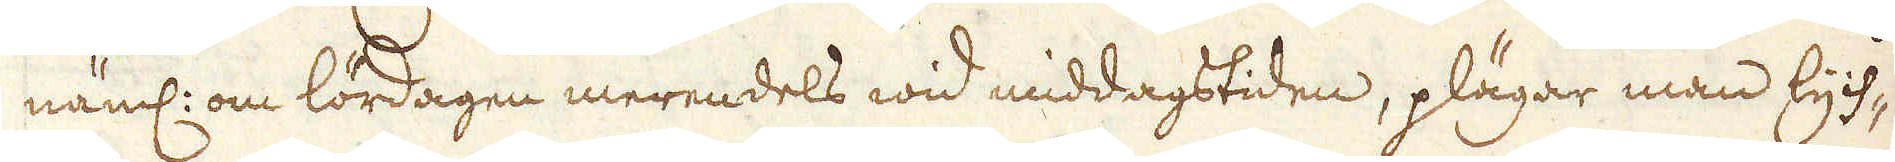näml: om lördagen merendels wid middagstiden, plägar man lych-
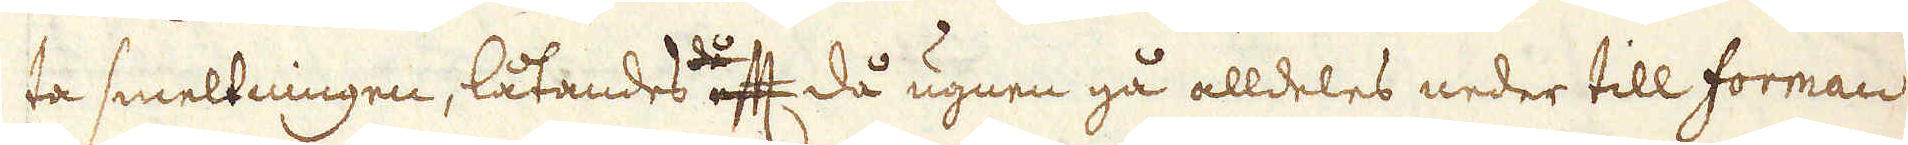ta smeltningen, låtandes då ett då ugnen gå alldeles neder till forman
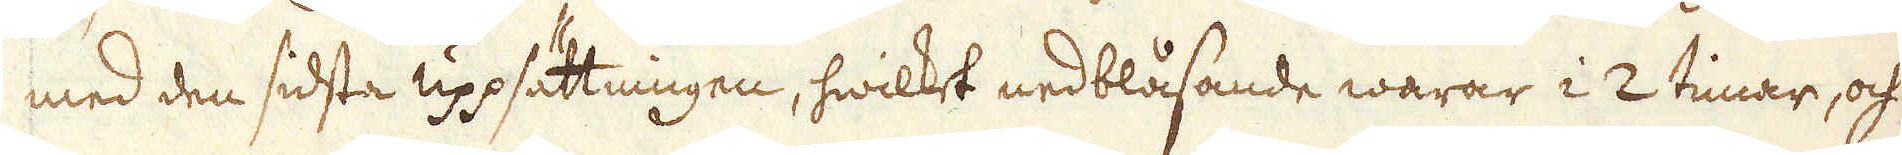med den sidsta uppsättningen, hwilket nedblåsande warar i 2 timar, och
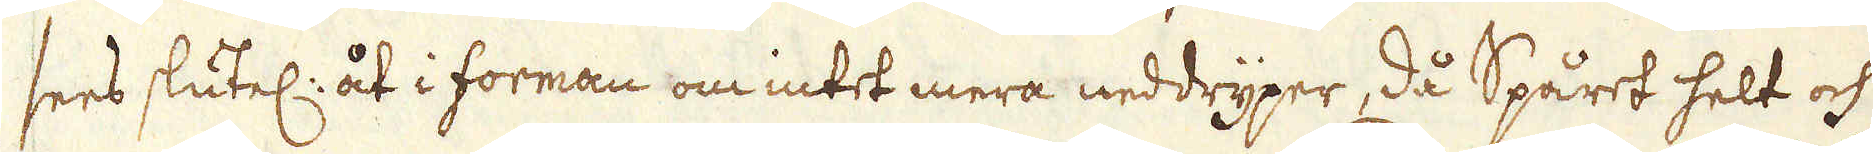sees slutel: åt i forman om intet mera neddryper, då Spåret helt och
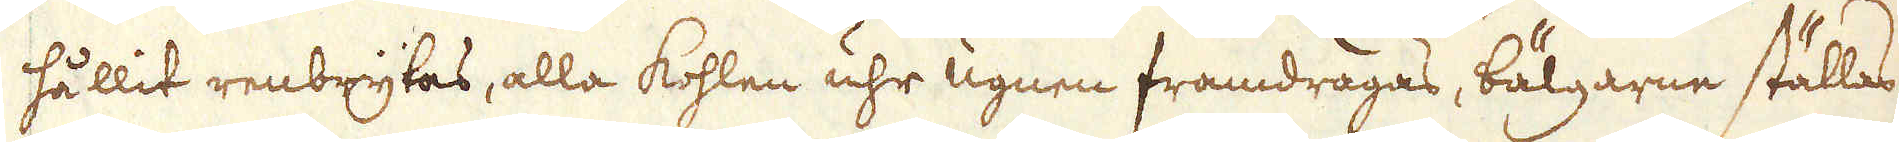hållit renbrytas, alla kohlen uhr ugnen framdragas, bälgarne ställas
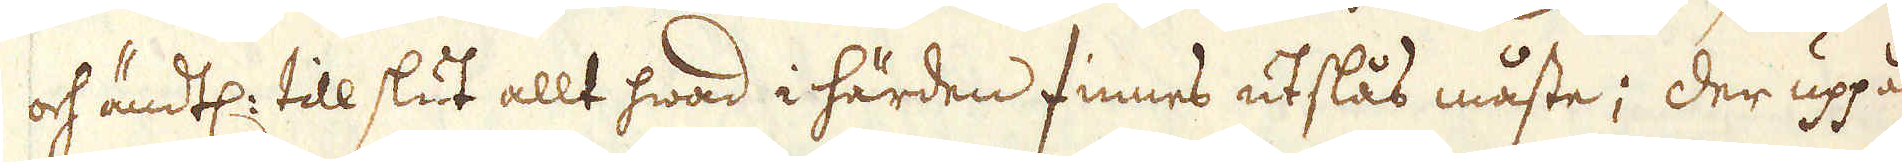och ändtl: till slut allt hwad i härden finnes utslås måste; der uppå
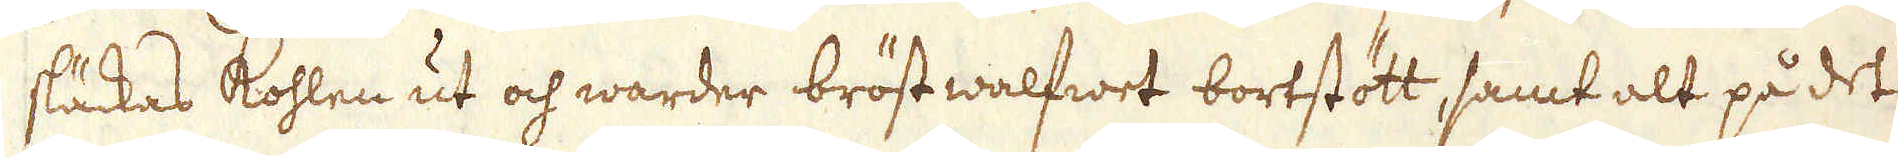släckas kohlen ut och warder bröst walfwet bortstött, samt alt på det
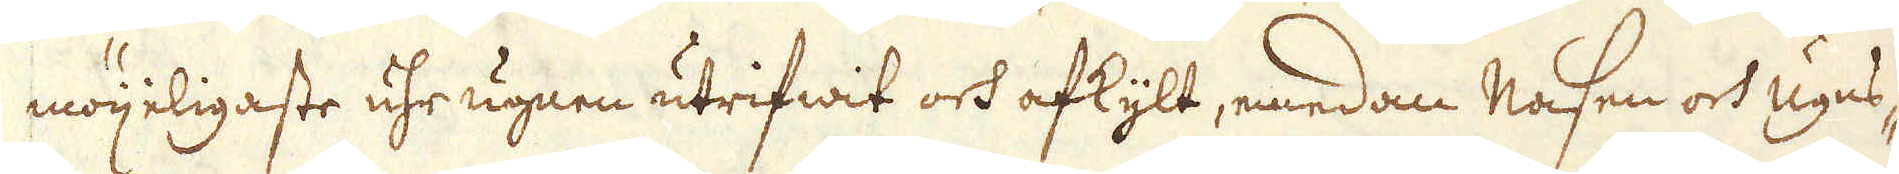möijeligaste uhr ugnen utrifwit och afkylt, emedan nasen och ugns-
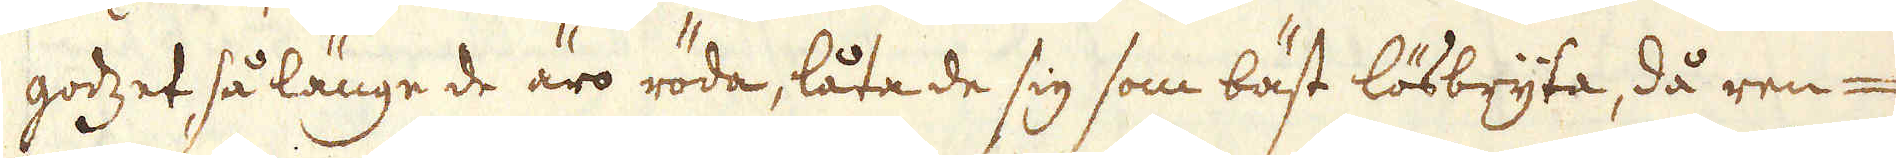godzet så länge de äro röda, låta de sig som bäst lösbryta, då ren-
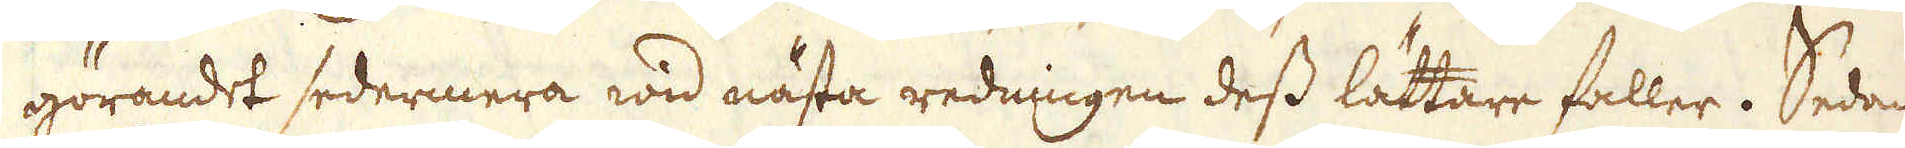görandet sedermera wid nästa redningen dess lättare faller. Sedan
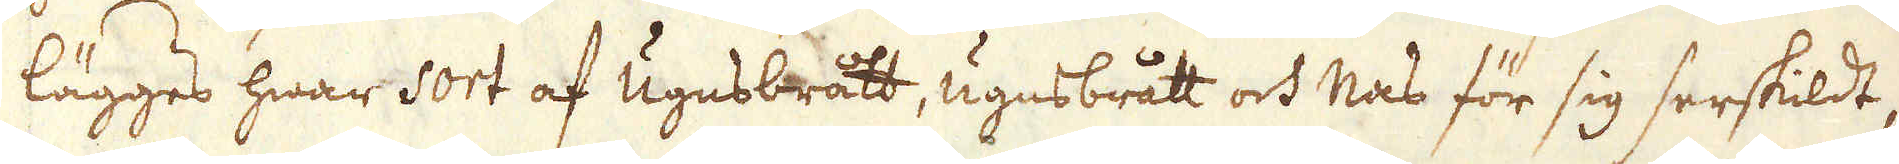lägges hwar Sort af Ugnsbrått, ugnsbrått och nas för sig serskildt,
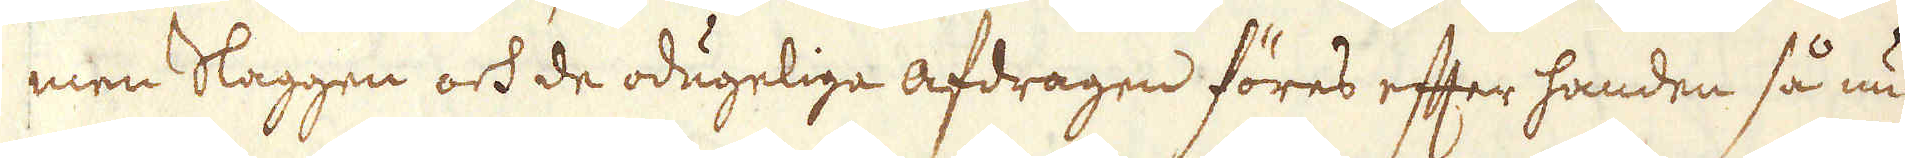men Slaggen och de odugeliga afdragen föres efter handen så nu
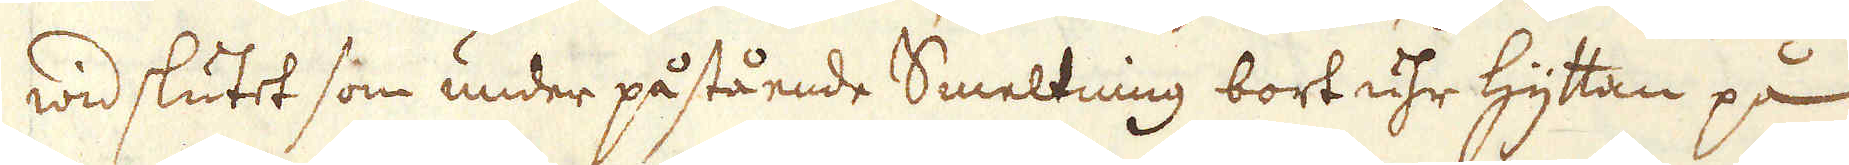wid slutet som under påstående Smeltning bort uhr hyttan på
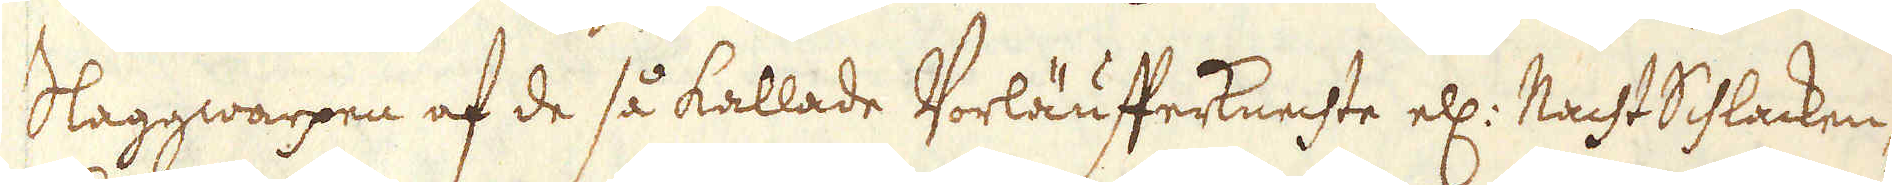Slaggwarpen af de så kallade Vorläufferknechte ell: Macht Schlacken-
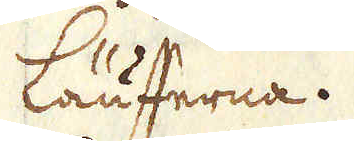Läufferna.
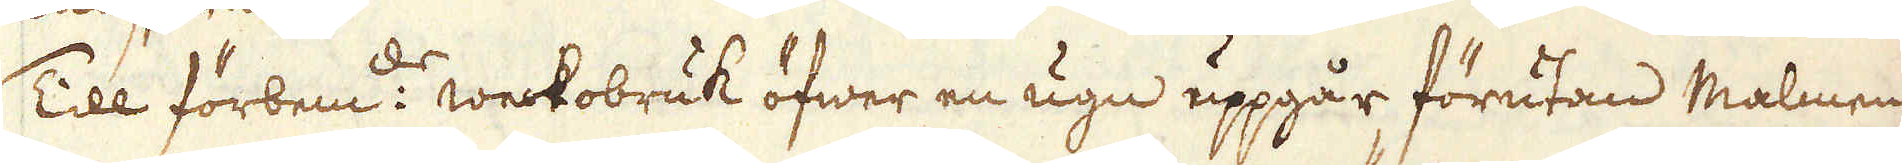Till förbem:de weckobruk öfwer en ugn uppgår förutan Malmen
